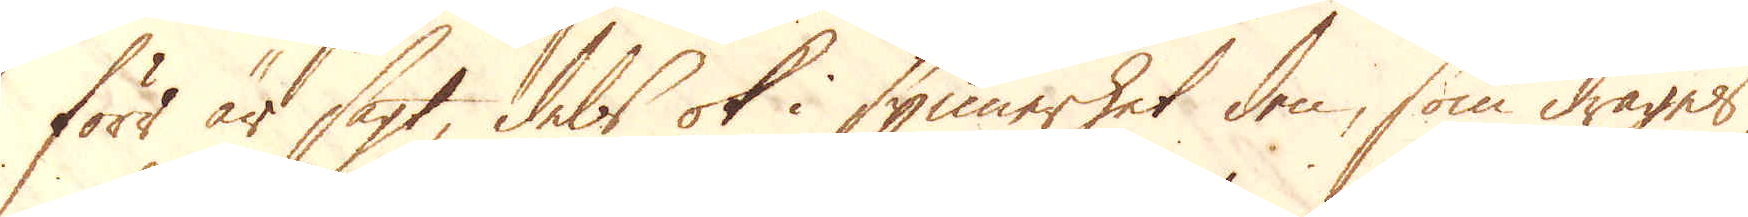förr är sagt, dels ok i synnerhet den, som drages
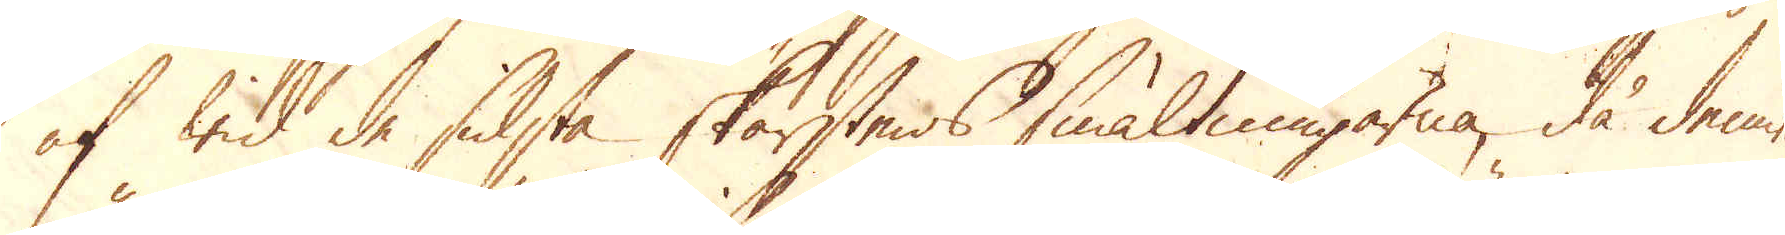af wid de sidsta skärstens smältningarna, då denne
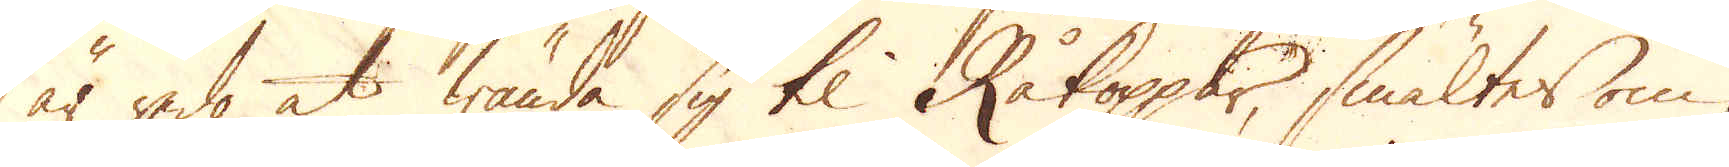är redo at wända sig til Råkoppar, smältes om
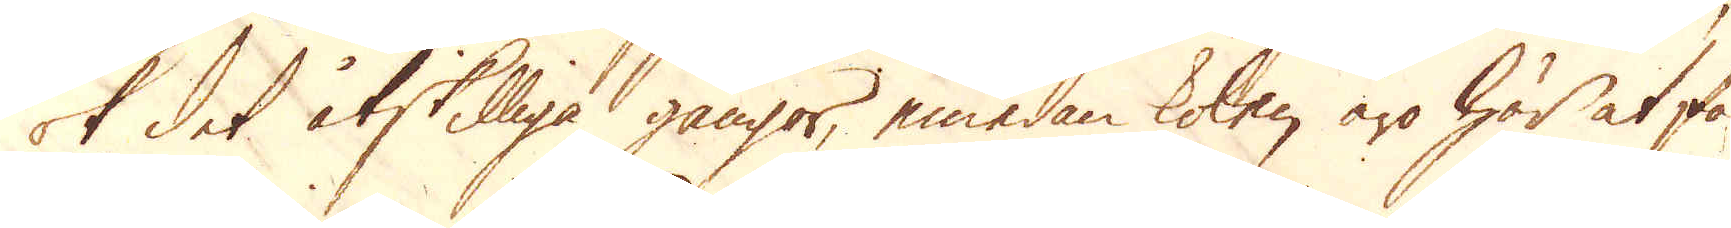ok det åtskilliga gångor, emedan kolen äro här at få
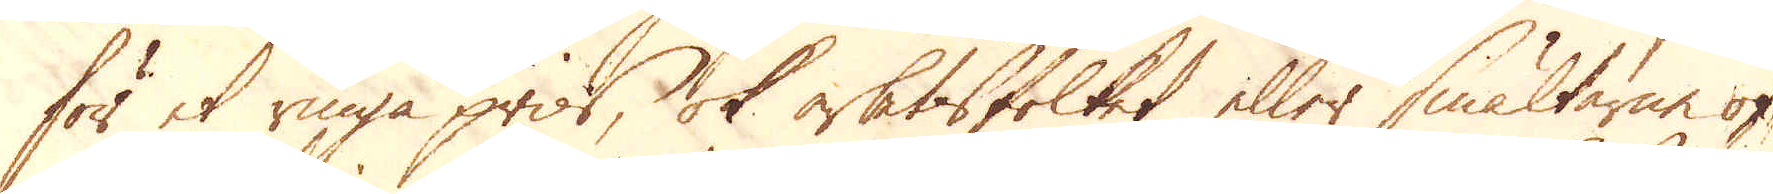för et ringa pris, ok arbetsfolket eller smältarne of-
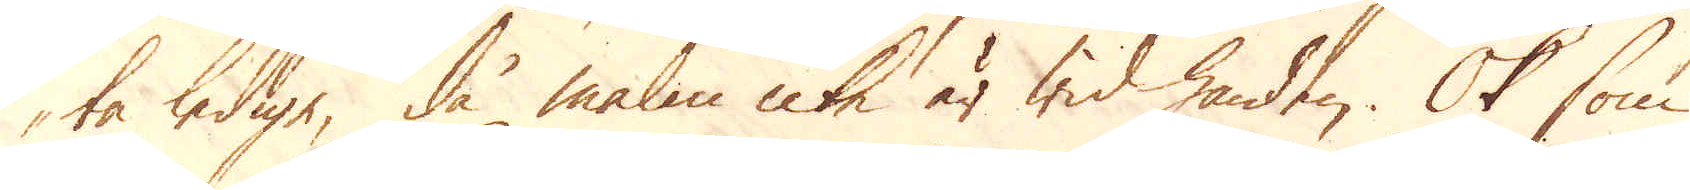ta ledige, då malm icke är wid handen. Ok som
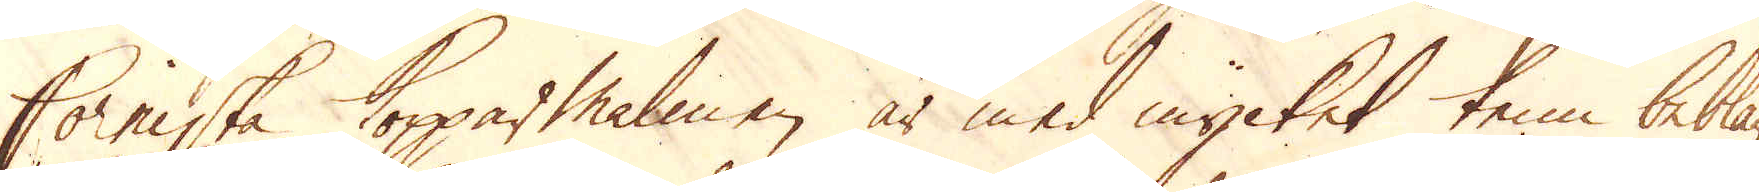Corniska Kopparmalmen är med mycket tenn beblan-
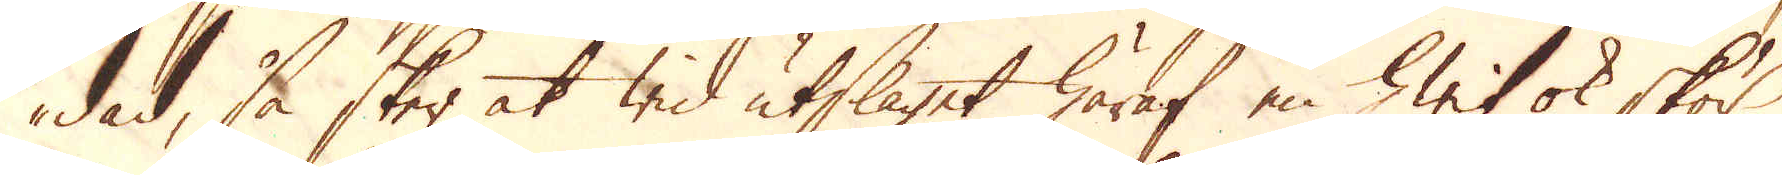dad, så sker at wid utslaget häraf en hwit ok skör
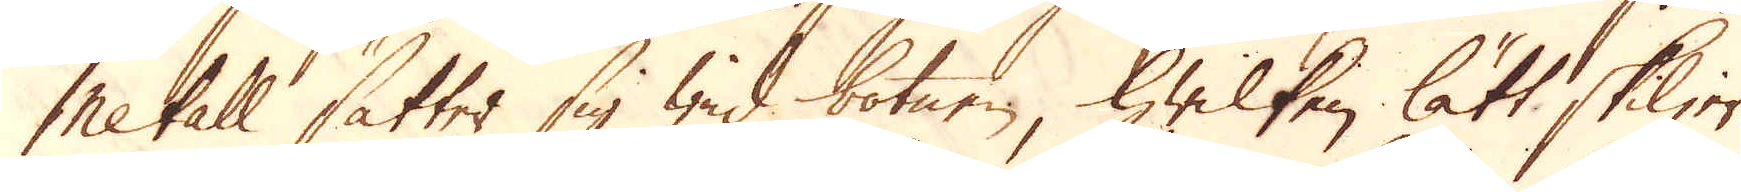Metall sätter sig wid botnen, hwilken lätt skiljer
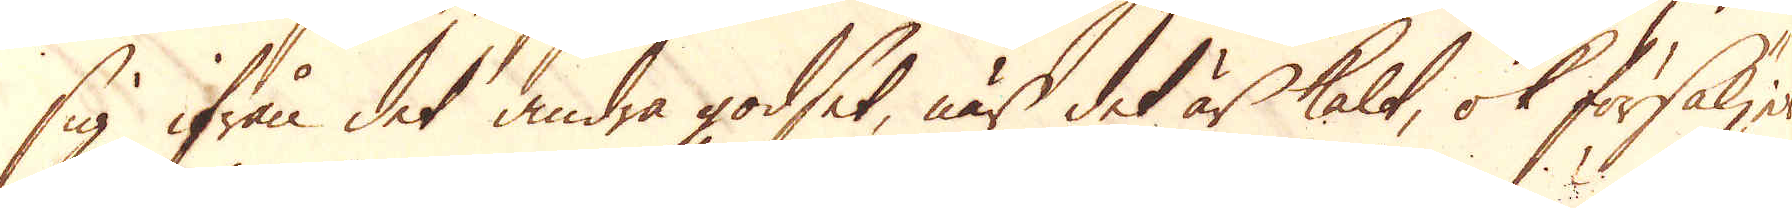sig ifrån det andra godset, när det är kalt, ok försäljes
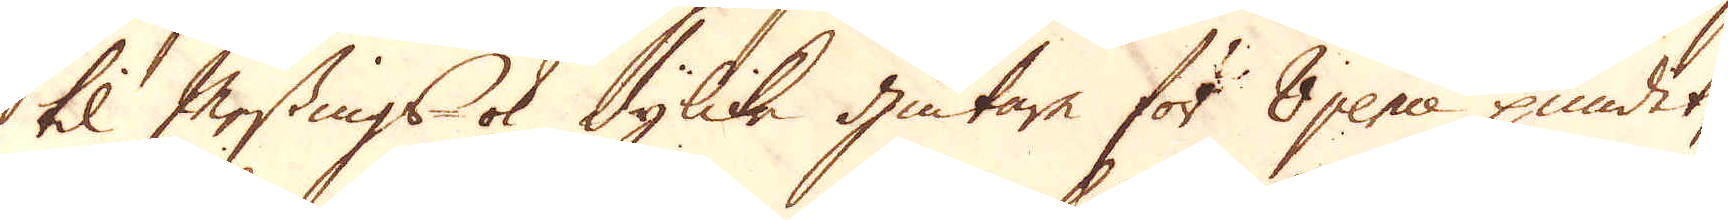til Messings- ok dylika giutare för 8 pence pundet,
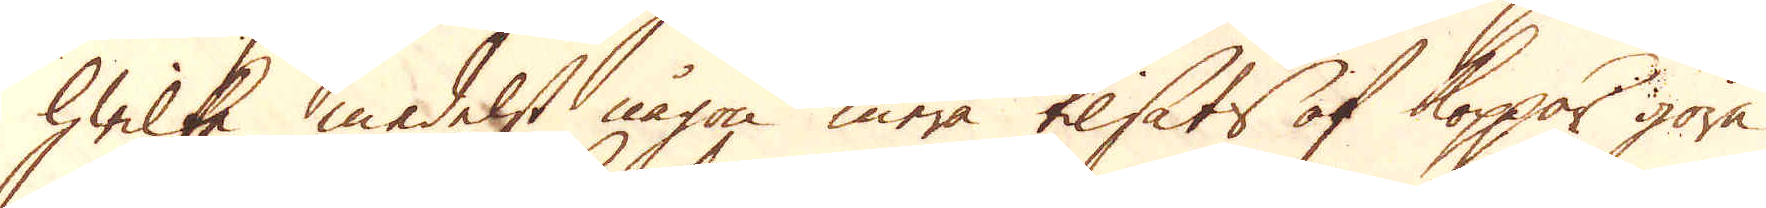hwilka medelst någon mera tilsats af koppar göra
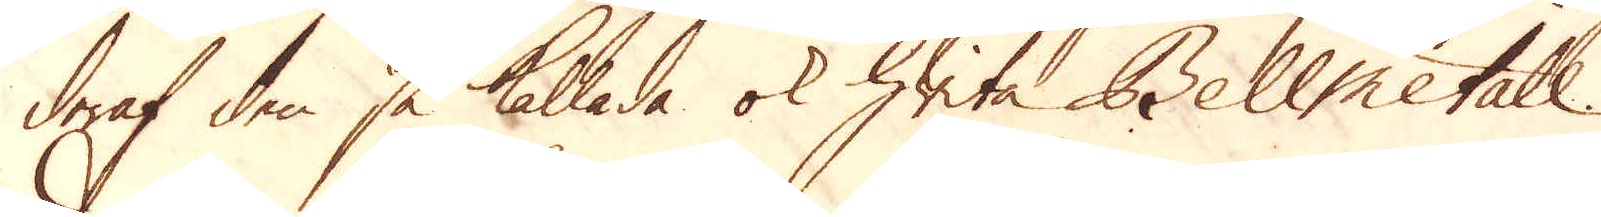deraf den så kallade ok hwita Bellmetall.
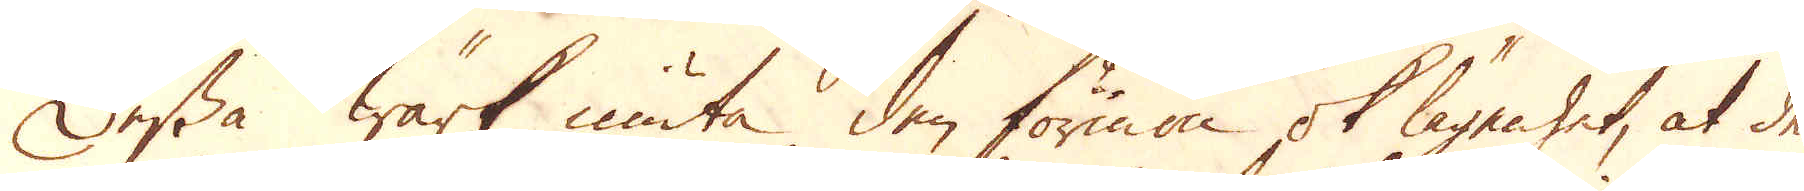Dessa Wärk niuta den förmon ok lägenhet, at de
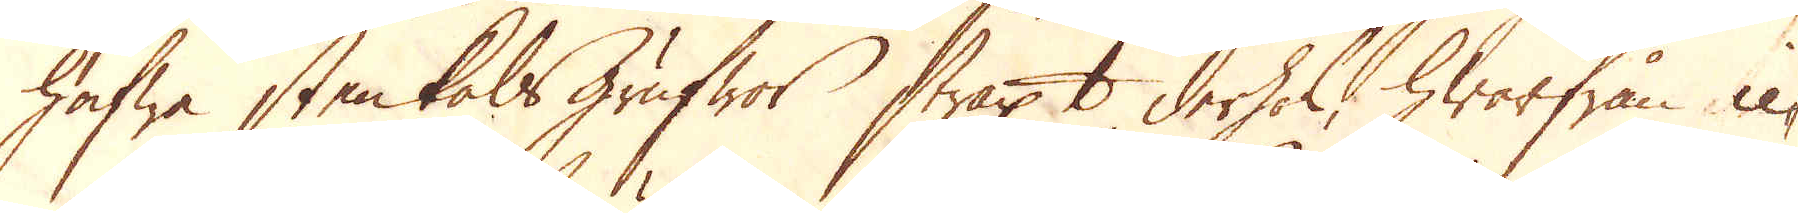hafwa stenkols grufwor straxt derhos, hwarifrån ic-
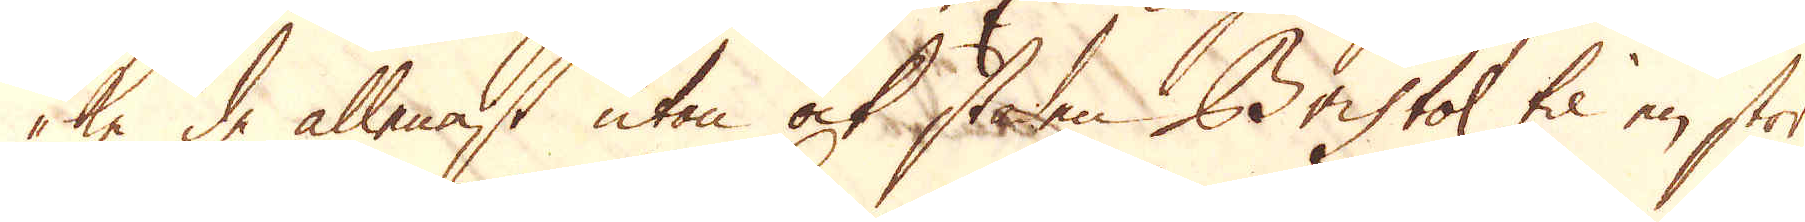ke de allenast utan ock staden Bristol til en stor
